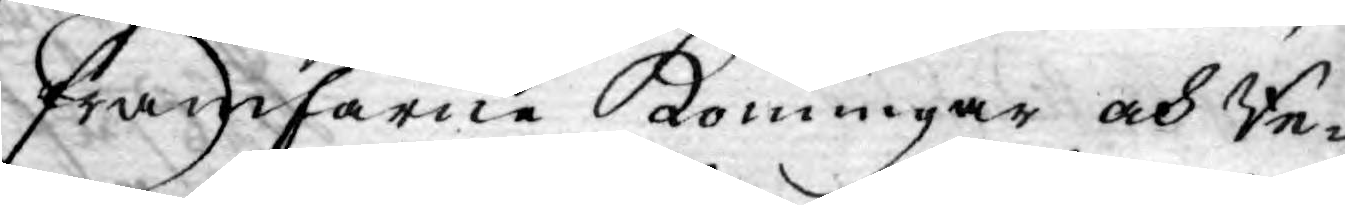framfarne Konungar och Re¬
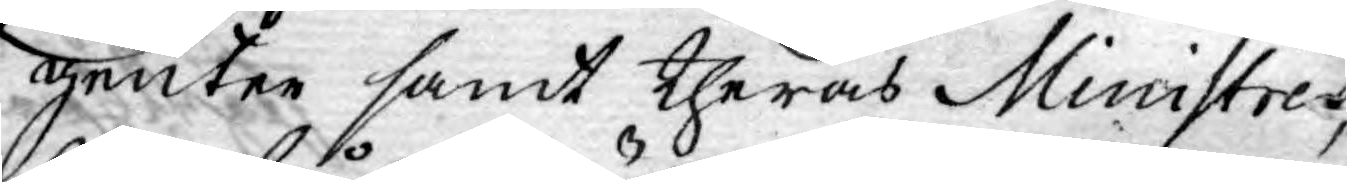g,enter samt theras Ministrer,
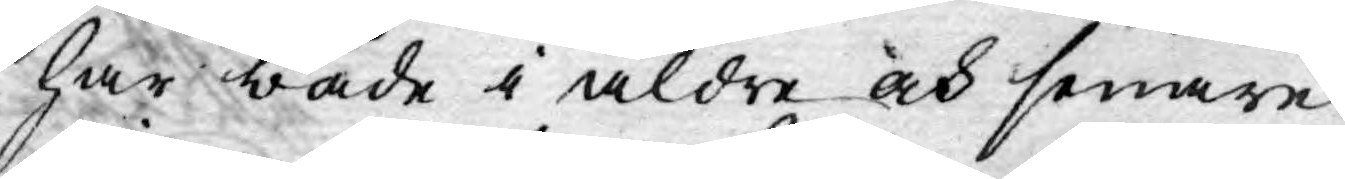har både i äldre och senare
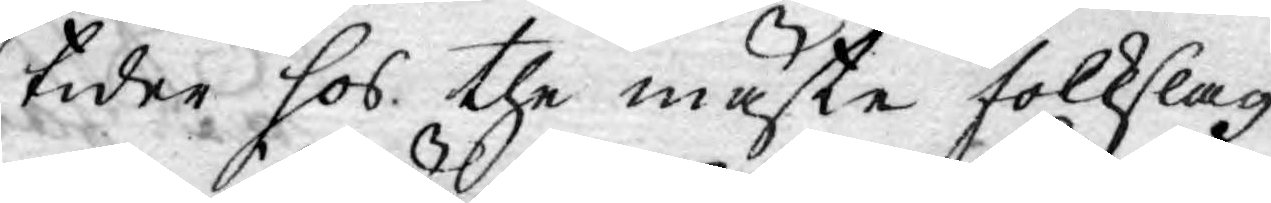tider hos the mäste folkslag
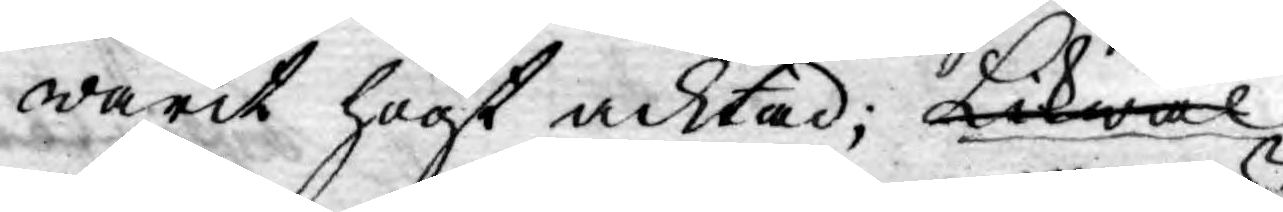warit högt acktad; Likwäl
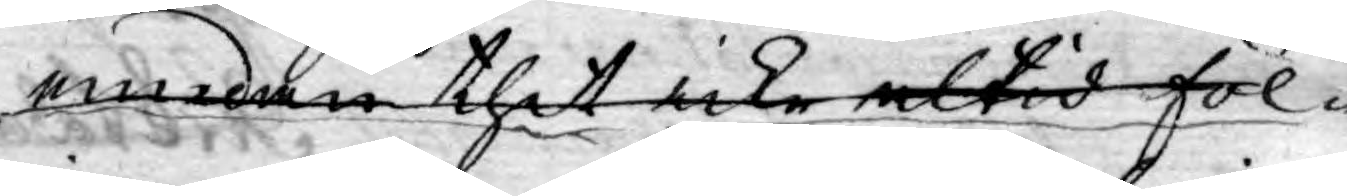emedan thet icke altid föl¬
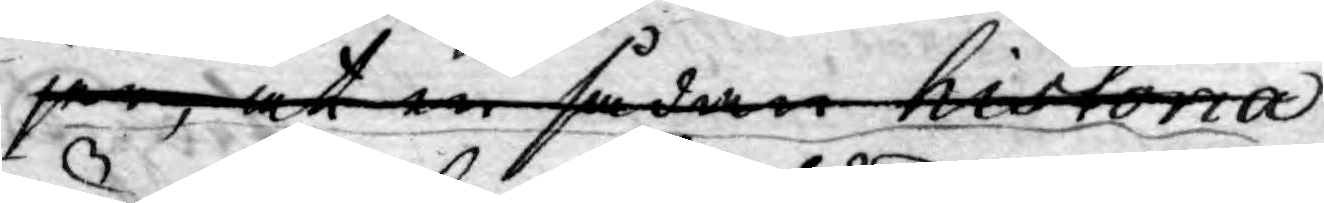jer, at en sådan historia
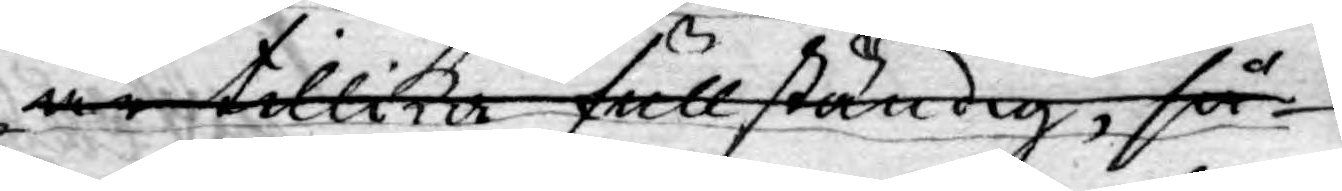är tillika fullständig, så
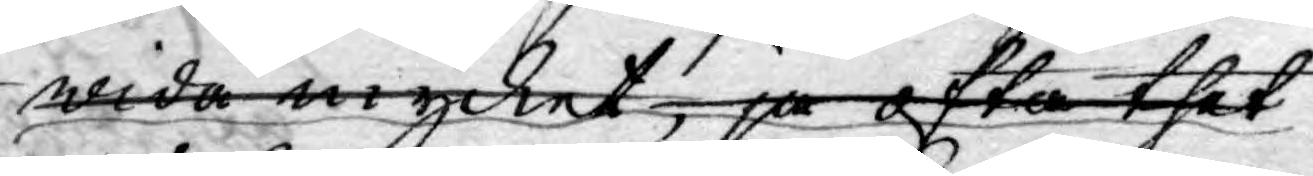wida mycket,  ja ofta thet
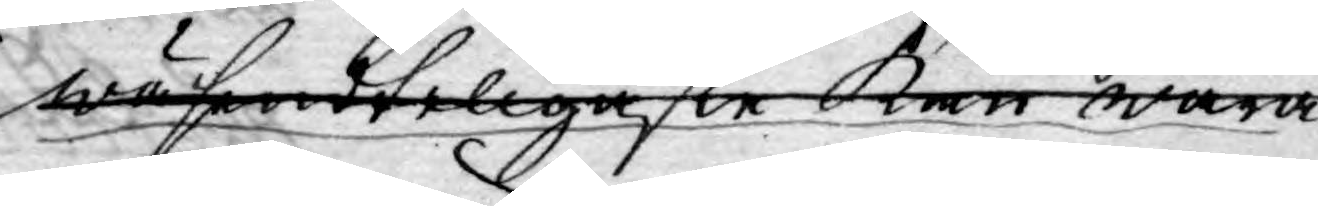wäsendteligaste kan wara
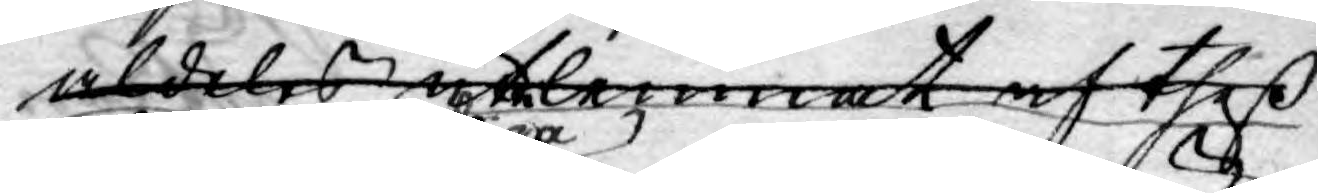aldeles utelemnat af theß
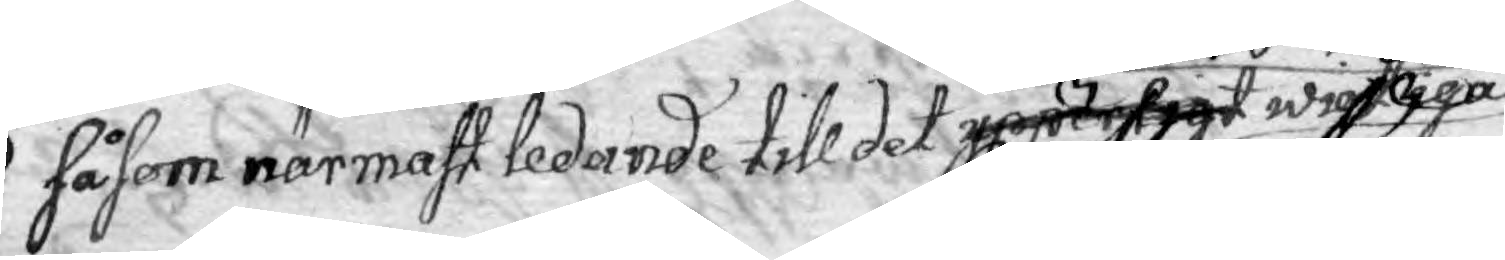såsom närmast ledande till det ypperligt wigtiga
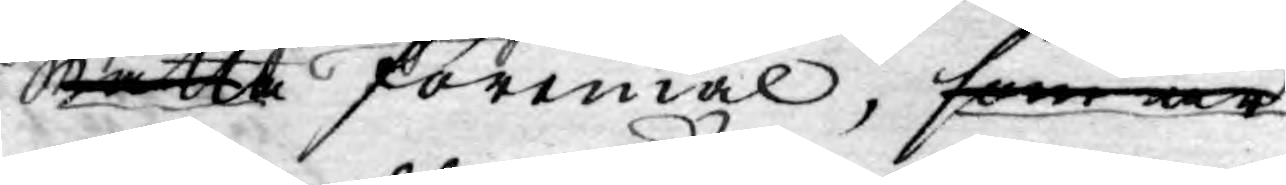rätta föremål, som är
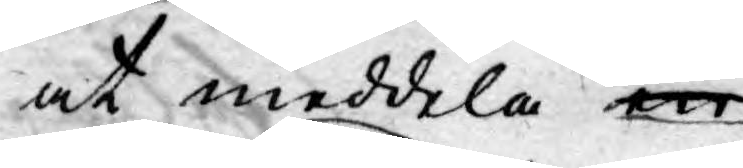at meddela är
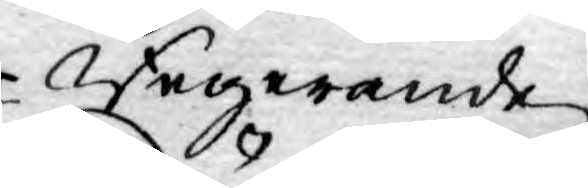Regerande
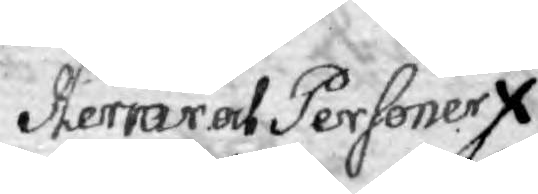Herrar och Personer
